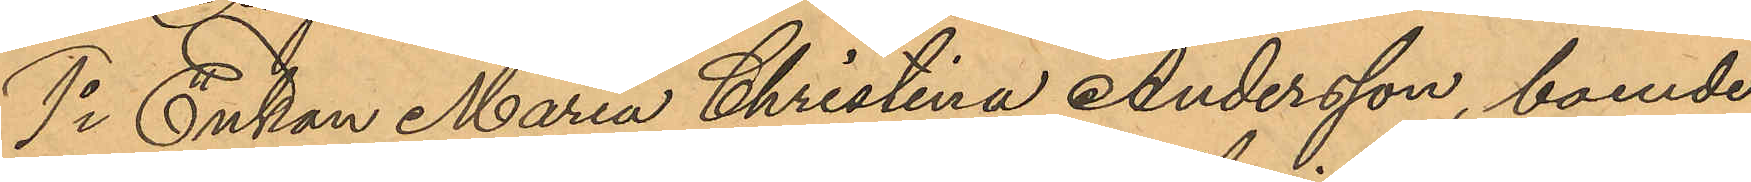1o Enkan Maria Christina Andersson, boende
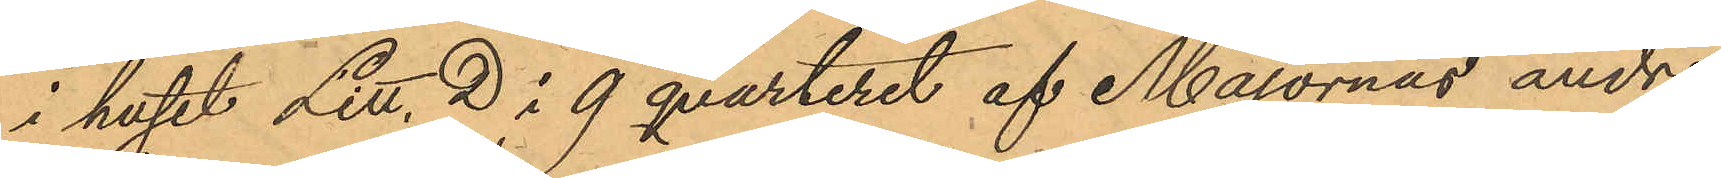i huset Litt, D i 9 qvarteret af Majornas andre
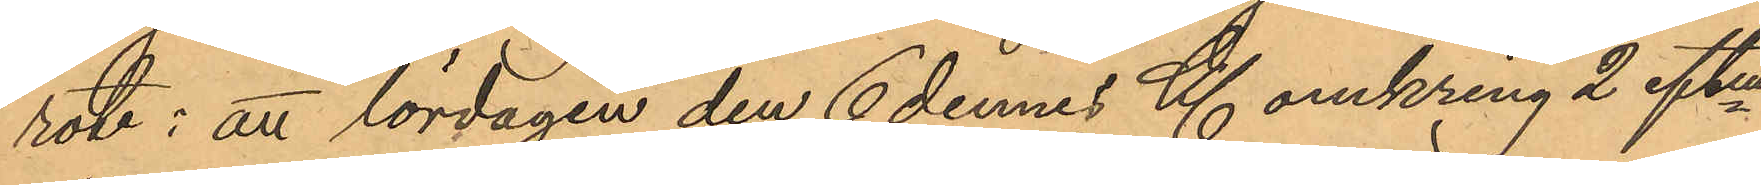rote: att lördagen den 6 dennes Kl. omkring 2 eftm
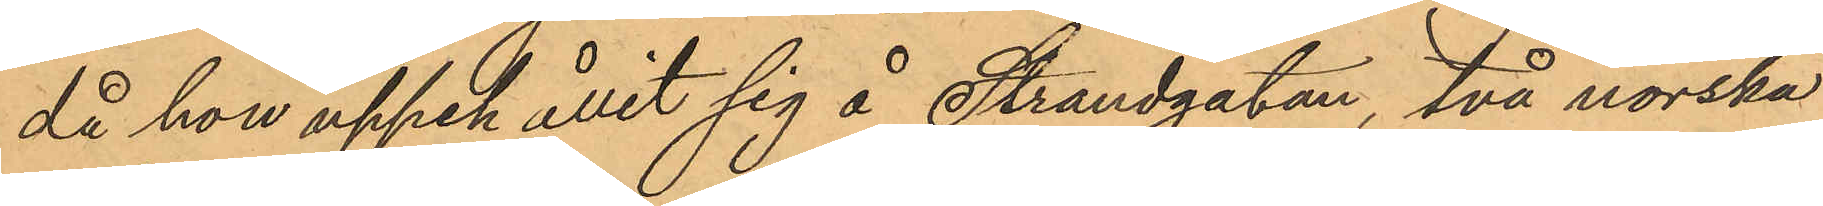då hon uppehållit sig å Strandgatan, två norska
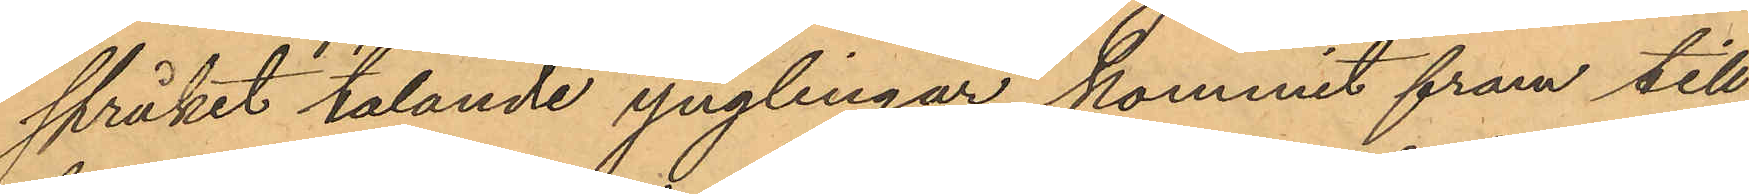språket talande ynglingar kommit fram till
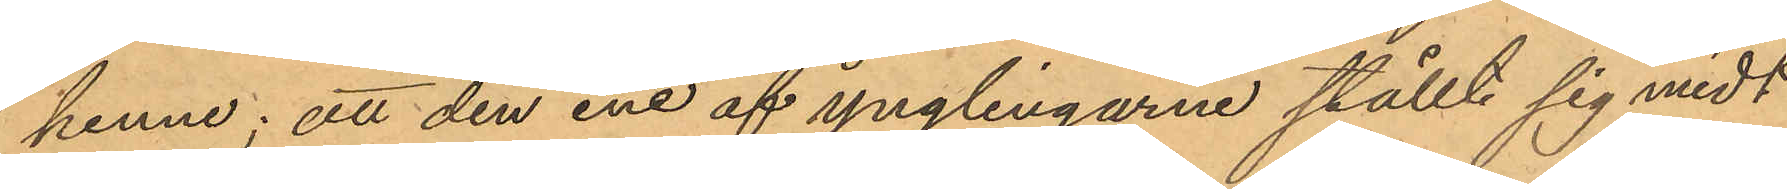henne; att den ene af ynglingarne ställt sig midt
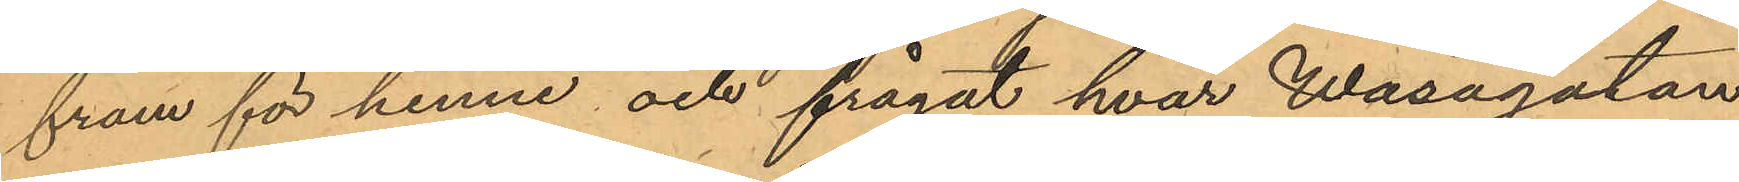fram för henne och frågat hvar Wasagatan
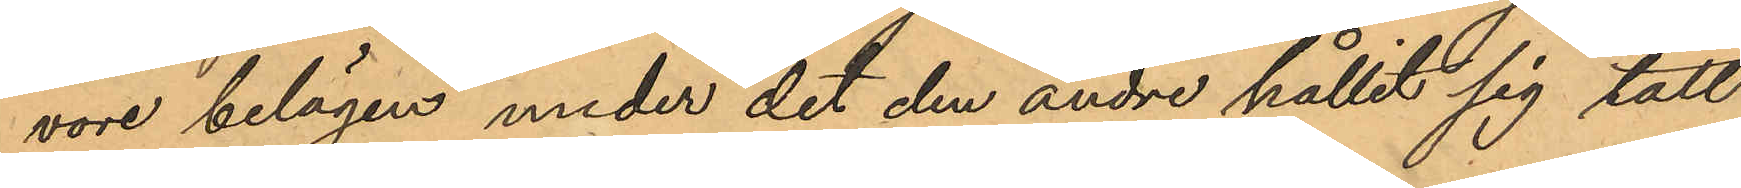vore belägen under det den andre hållit sig tätt
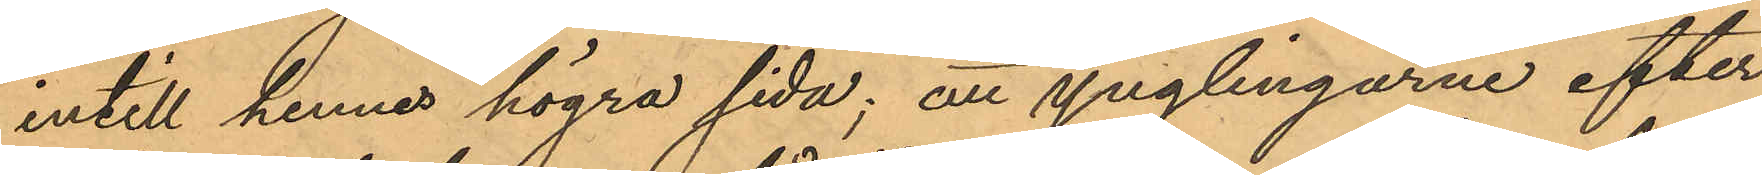intill hennes högra sida; att ynglingarne efter
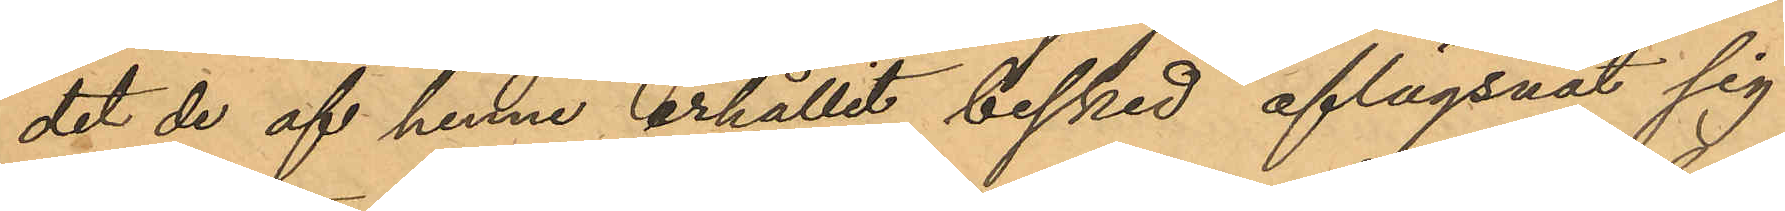det de af henne erhållit besked aflägsnat sig
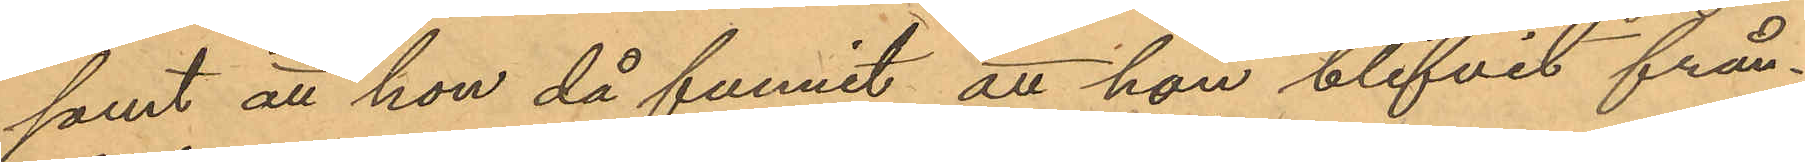samt att hon då funnit att hon blifvit från¬
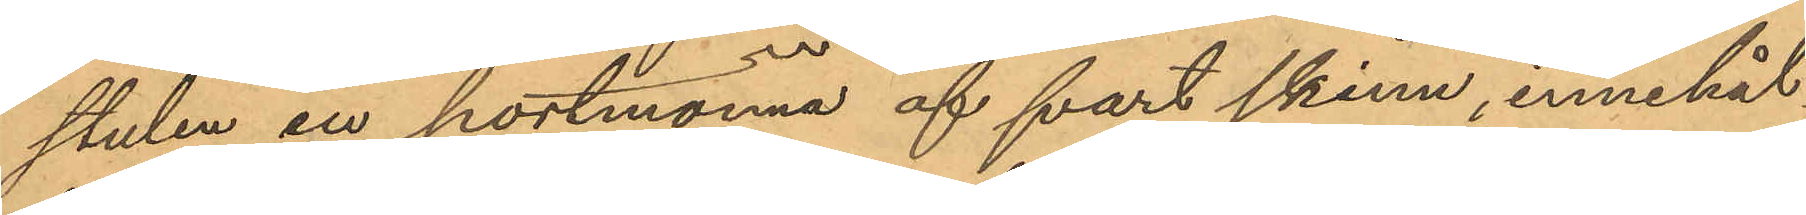stulen en portmonnä af svart skinn, innehål¬
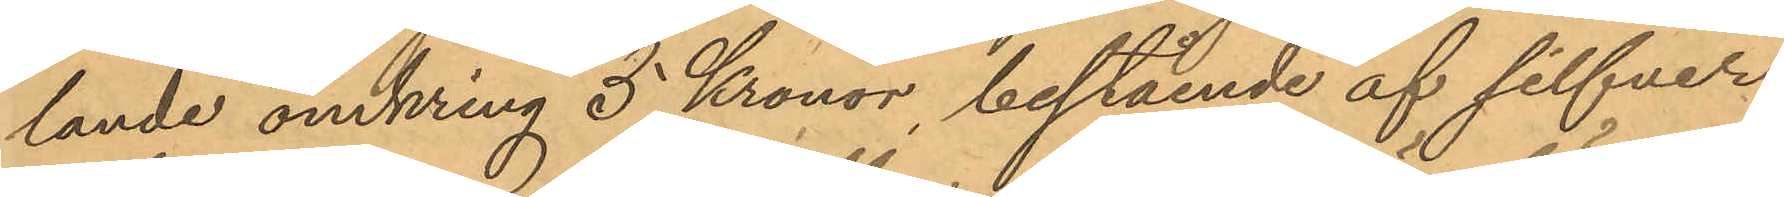lande omkring 5 Kronor, bestående af silfver
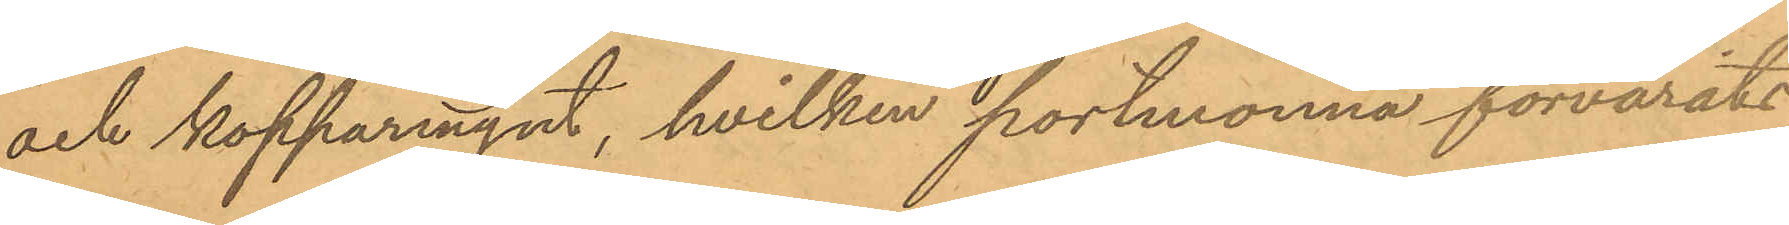och kopparmynt, hvilken portmonnä förvarats
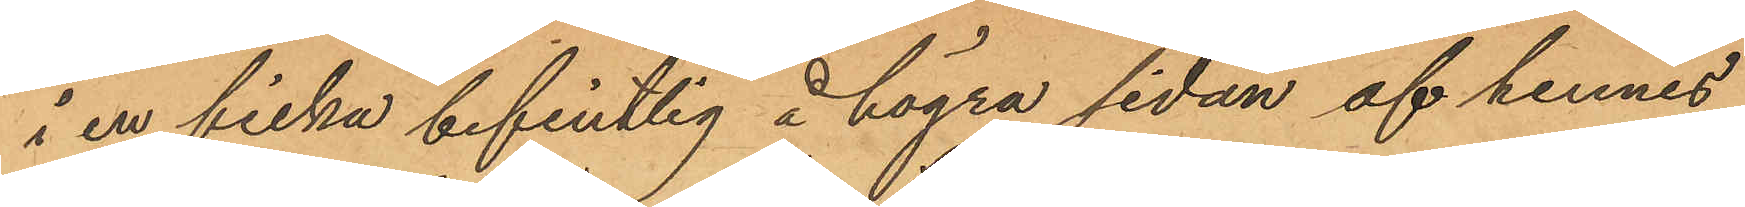i en ficka befintlig å högra sidan af hennes
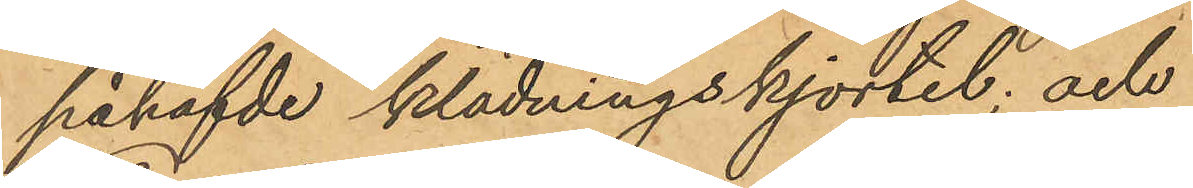påhafvde klädningskjortel; och
